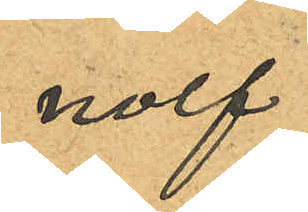nolf
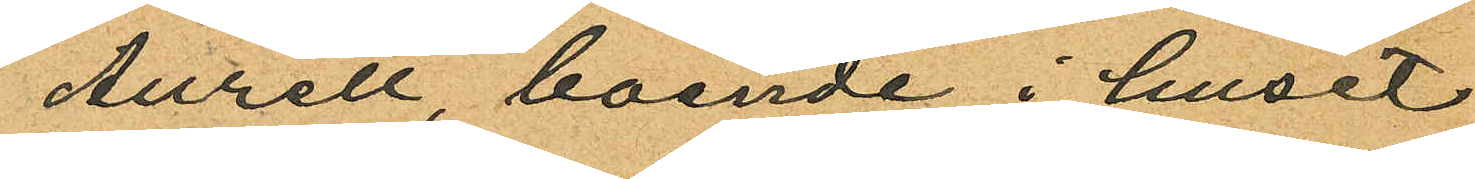Aurell, boende i huset
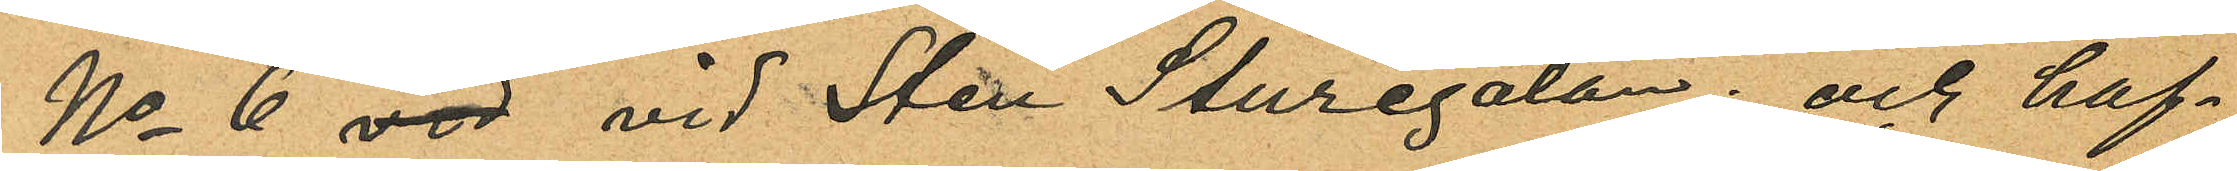No 6 vid vid Sten Sturegatan; och haf¬
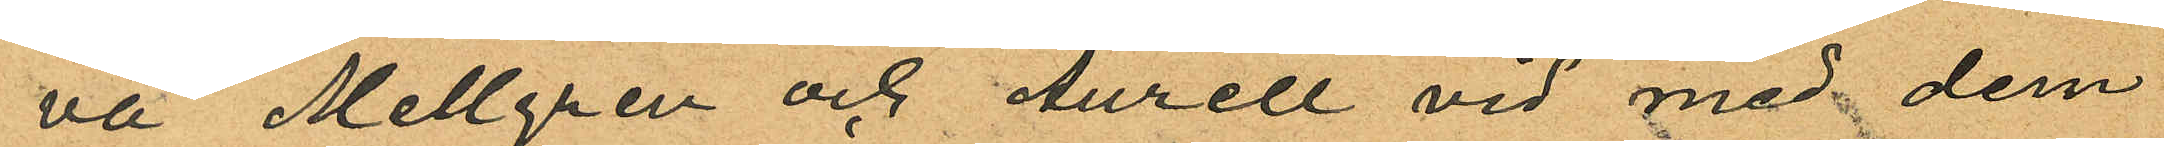va Mellgren och Aurell vid med dem
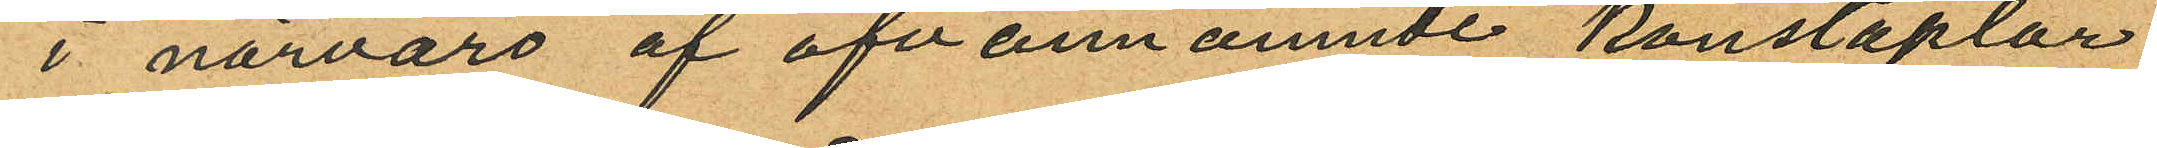i närvaro af ofvannämnde konstaplar
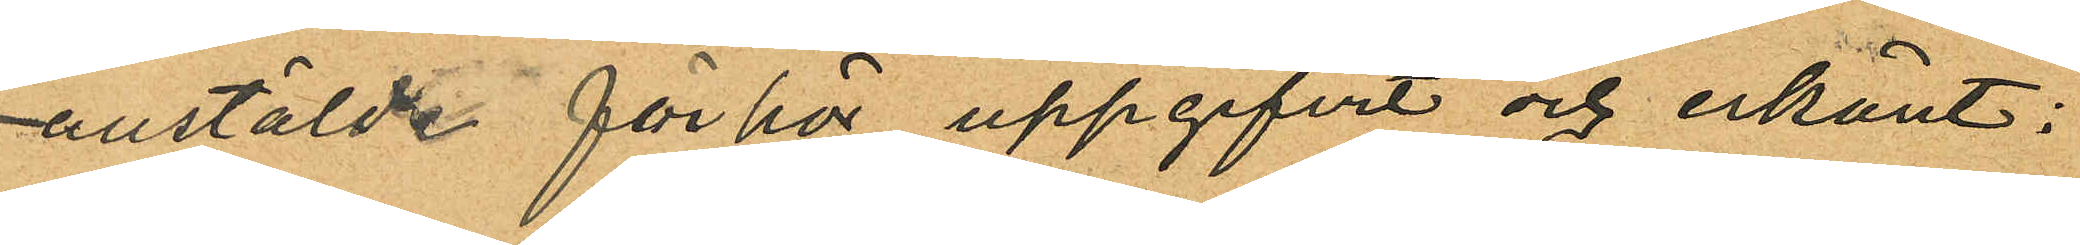anstälde förhör uppgifvit och erkänt:
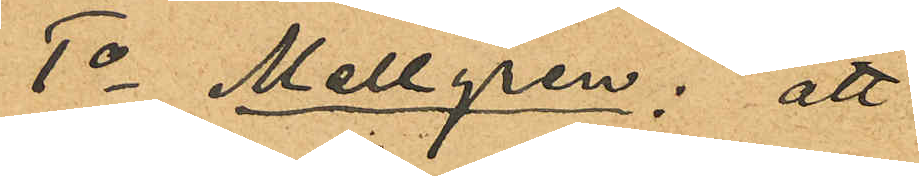1o Mellgren; att
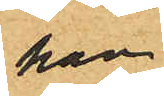han
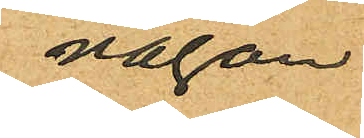någon
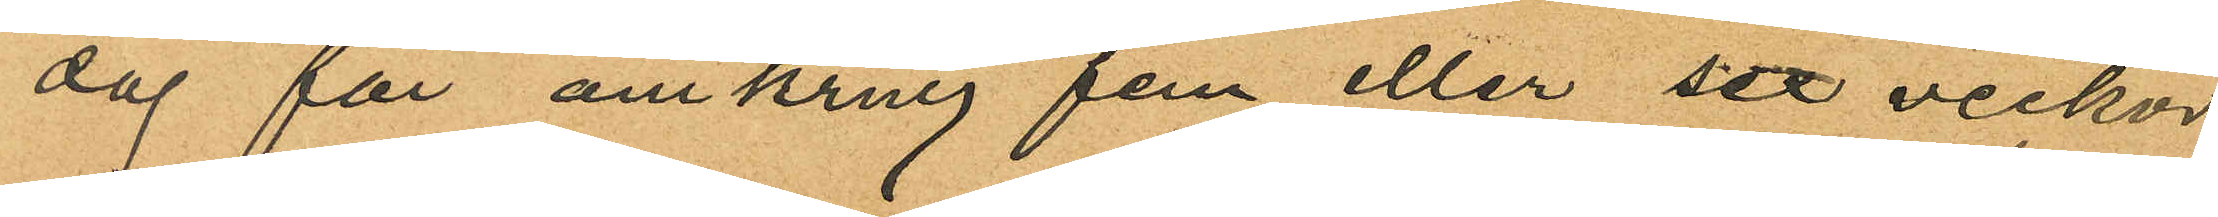dag för omkring fem eller sex veckor
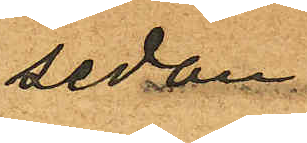sedan
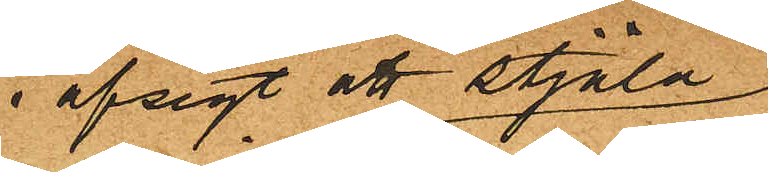i afsigt att stjäla
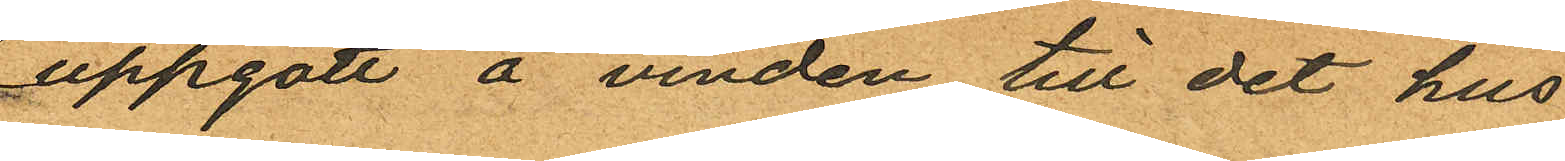uppgått å vinden till det hus
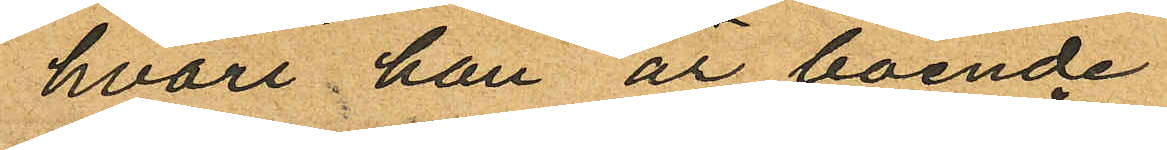hvari han är boende
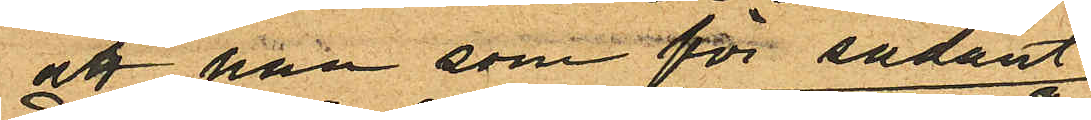att han som för sådant
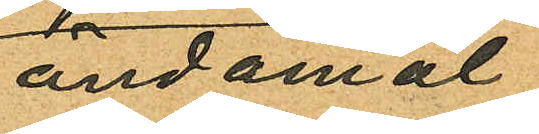ändamål
